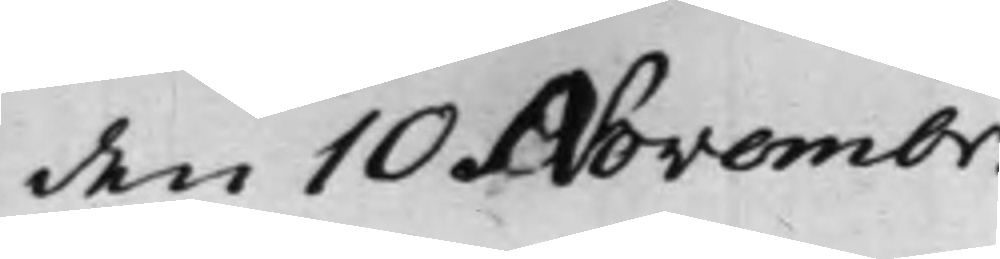den 10 Novembr.
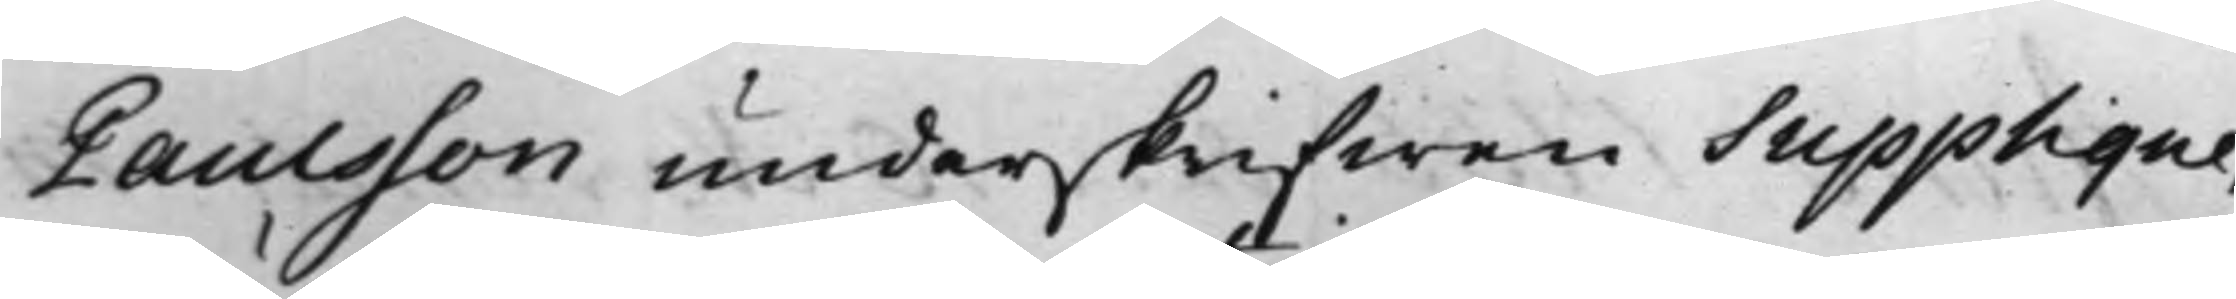Paulsson underskrifwen Supplique,
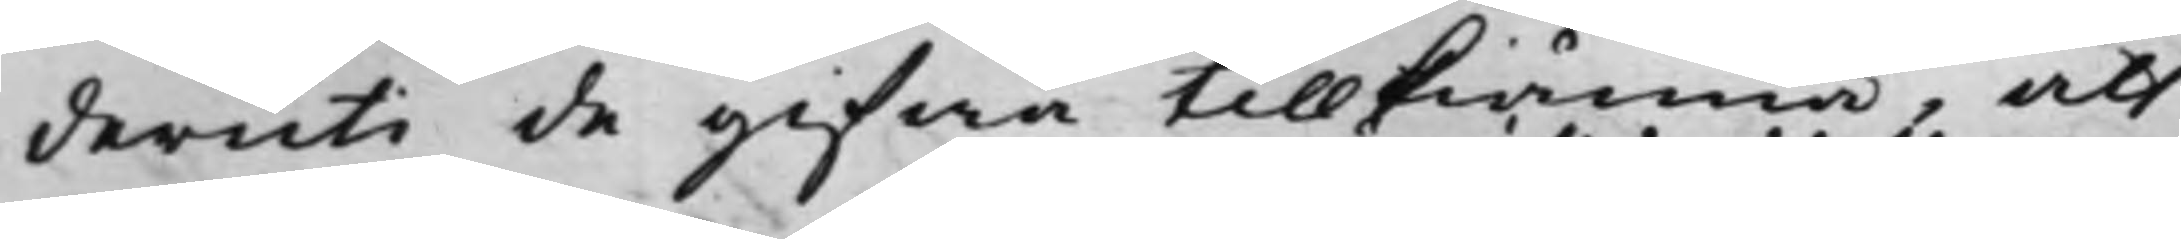deruti de gifwa tillkiänna, att
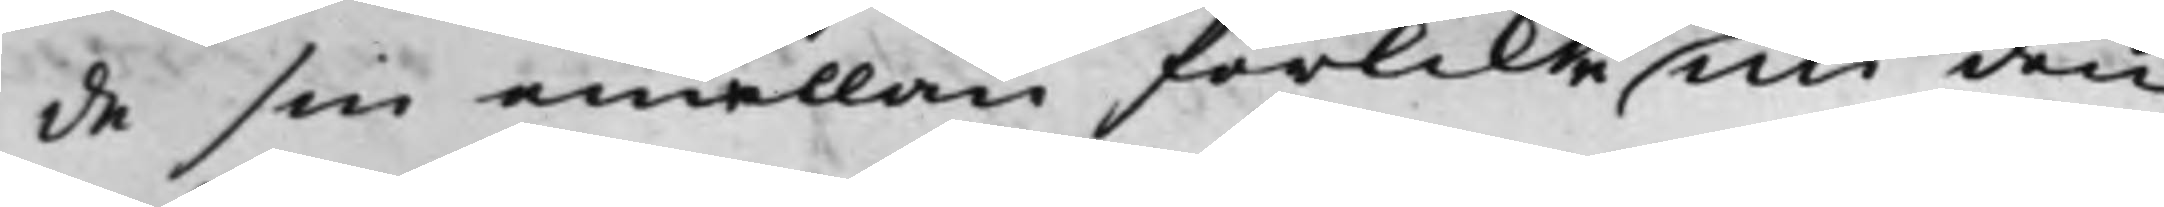de sin emellan förlikte uti den
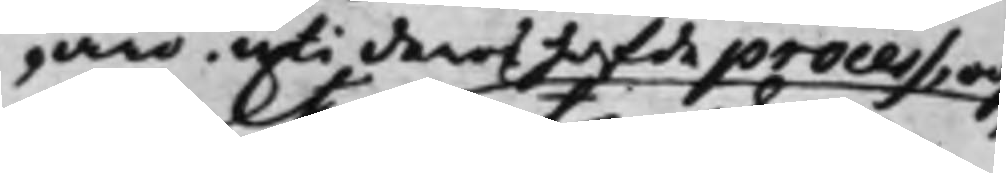äro uti deras hafde process, och,
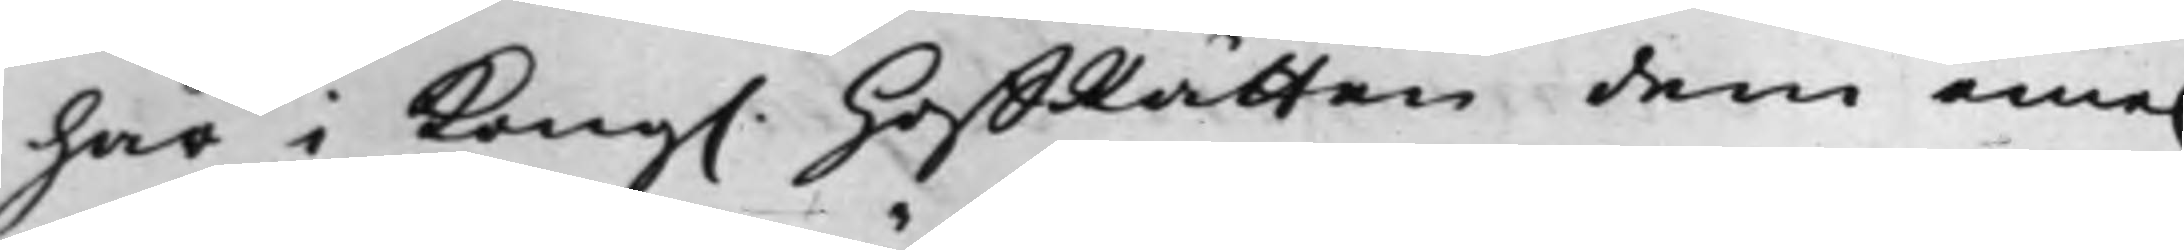här i Kong. HoffRätten dem eme.
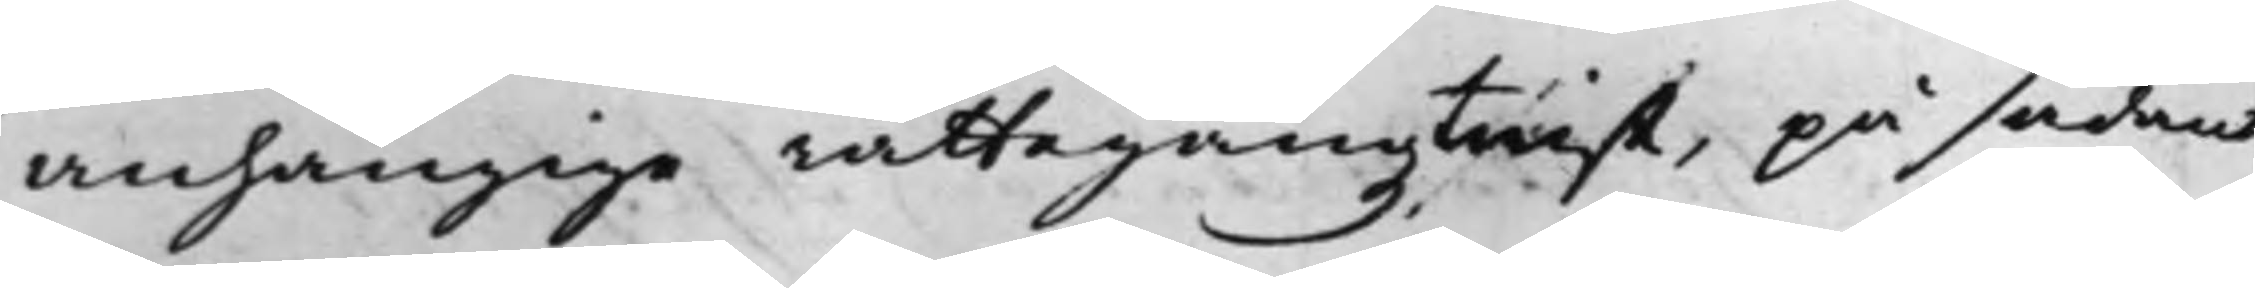anhängige rättegångztwist, på sådant
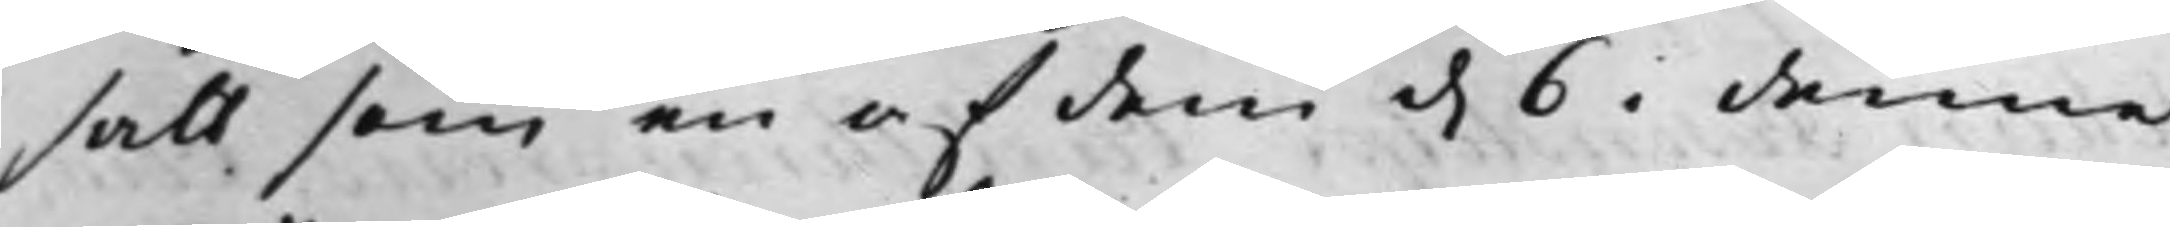satt som en af dem d. 6 i denna
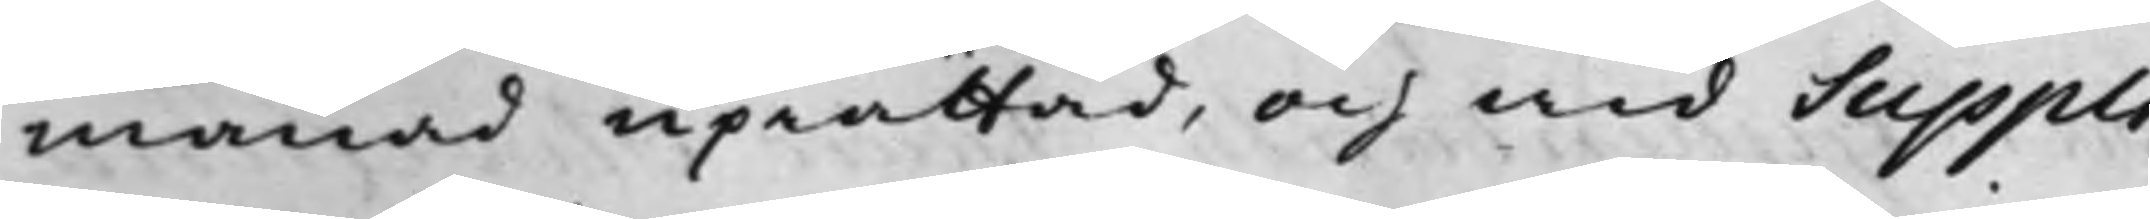månad uprättad, och wid Suppli¬
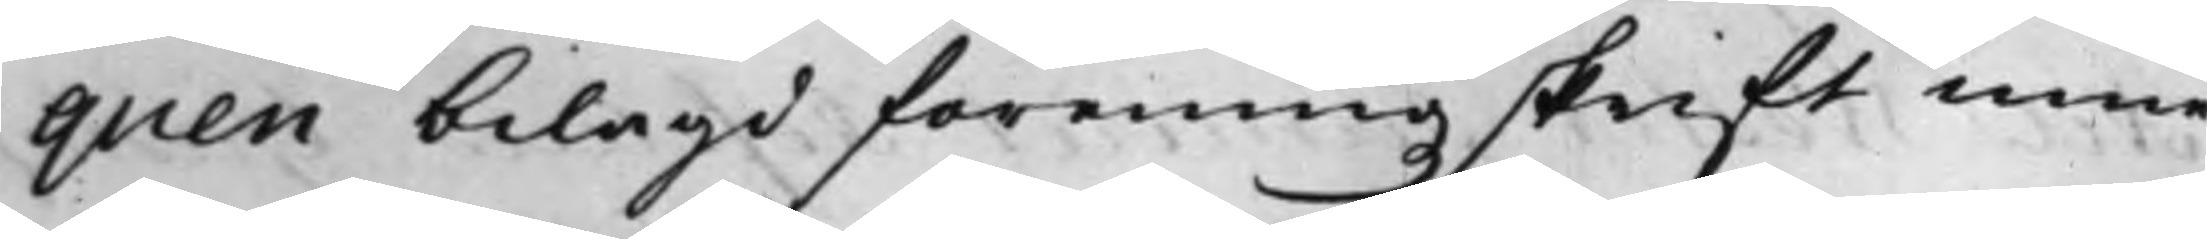quen bilagd föreningzskrift inne¬
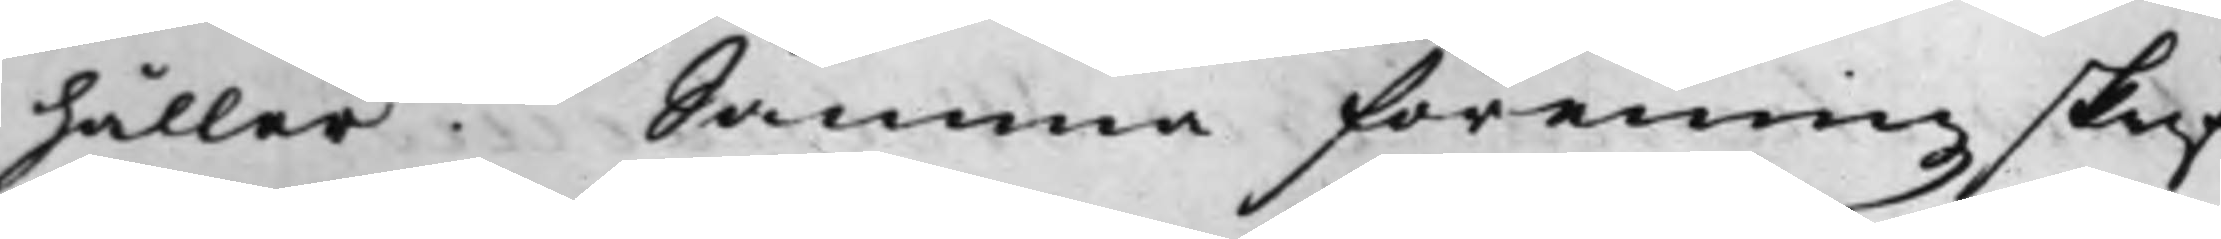håller. Samma föreningzskrift
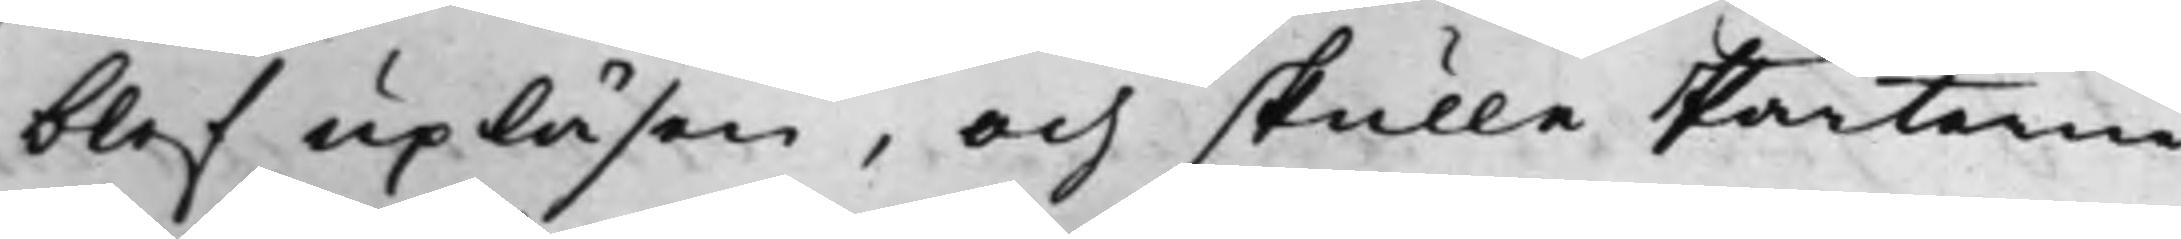blef upläsen, och skulle Parterne
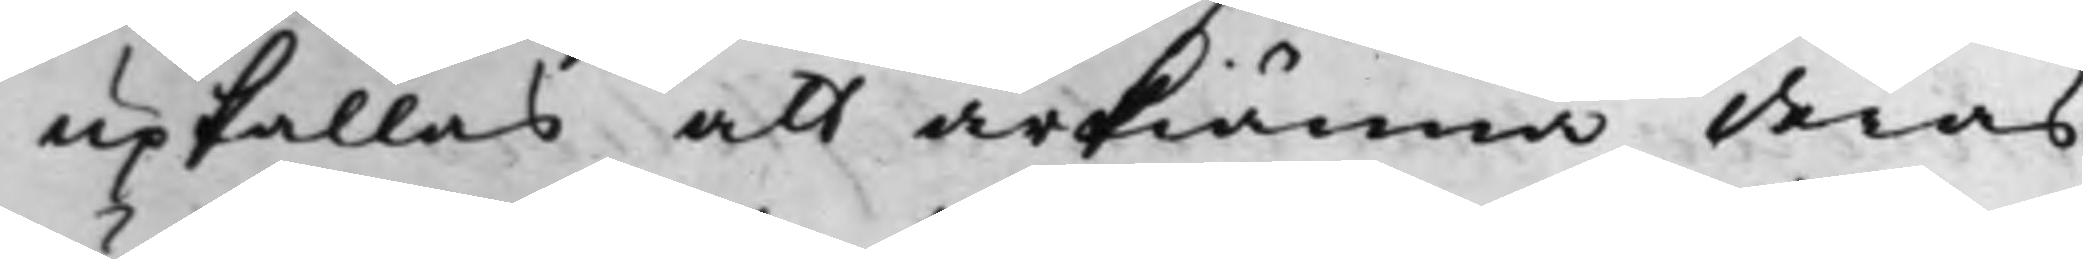upkallas att ärkiänna deras
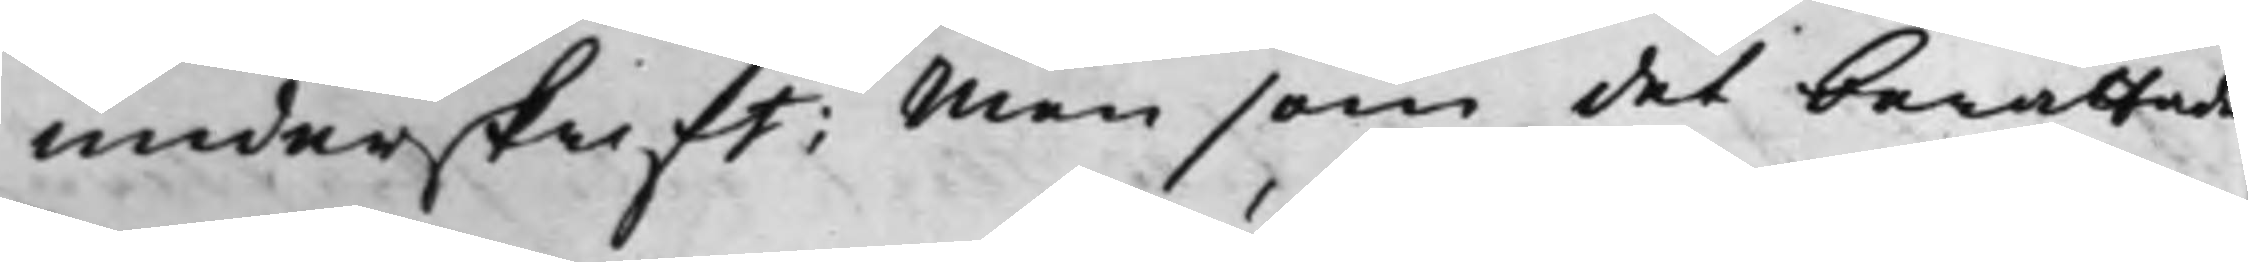underskrift; Men som det berättades
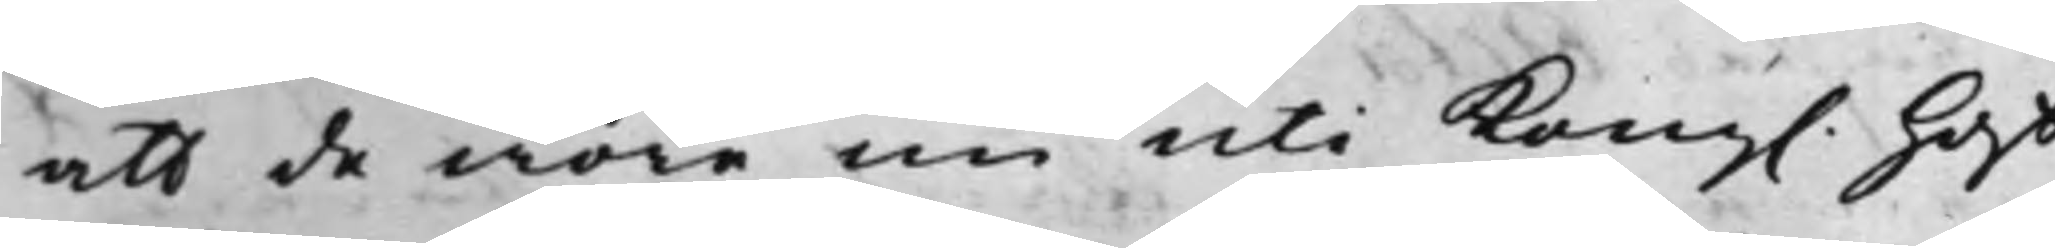att de wore nu uti Kong. Hoff¬
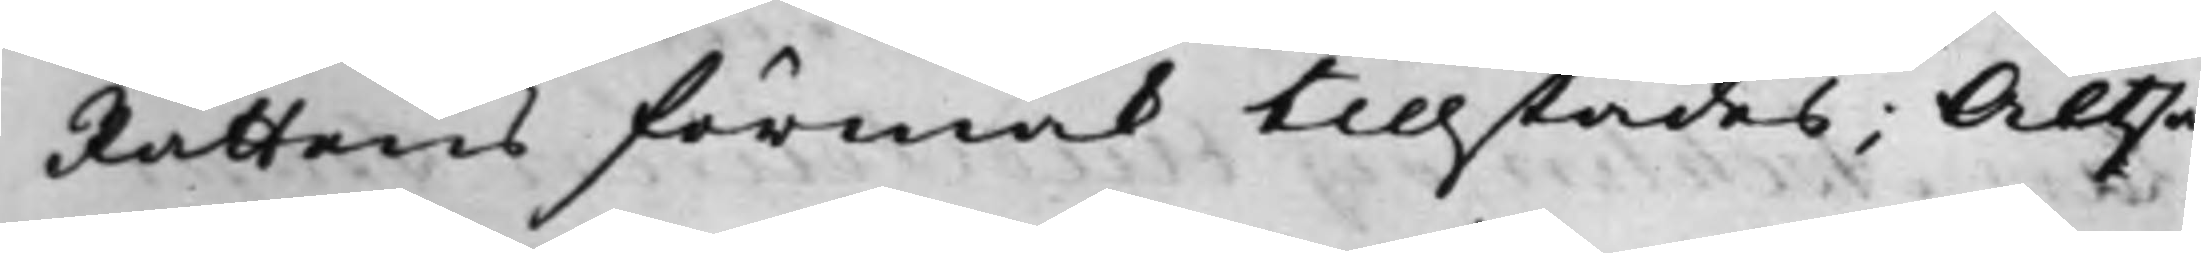Rättens förmak tillstädes; Altså
